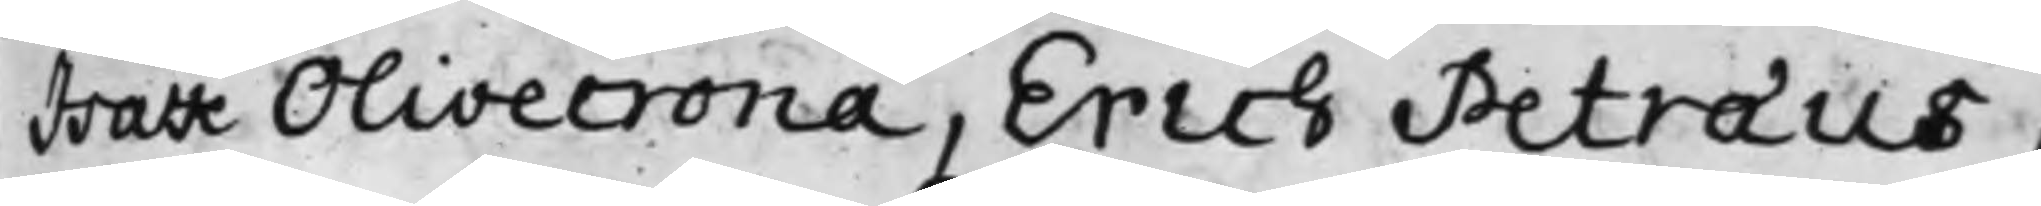Isak Olivecrona, Erich Petræus,
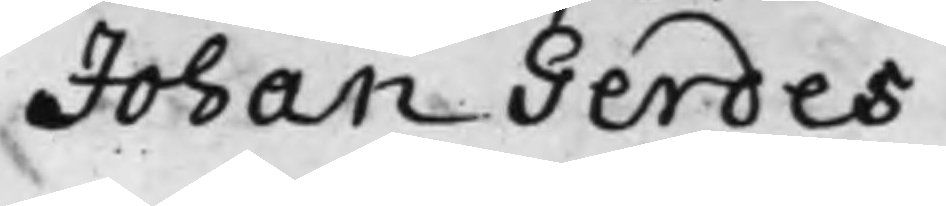Johan Gerdes
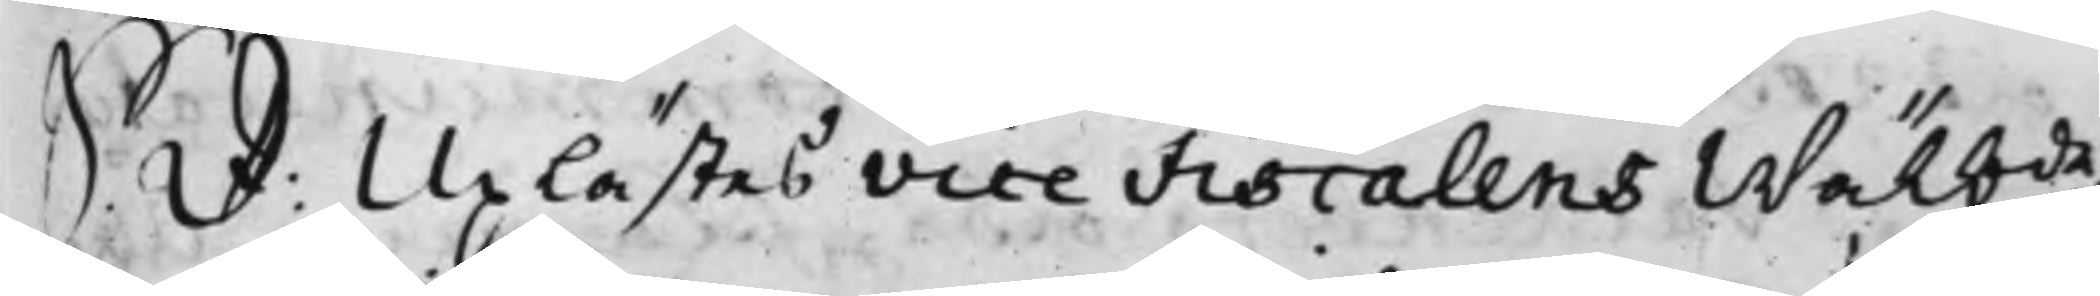S. d: Uplästes Vice Fiscalens Wälbde
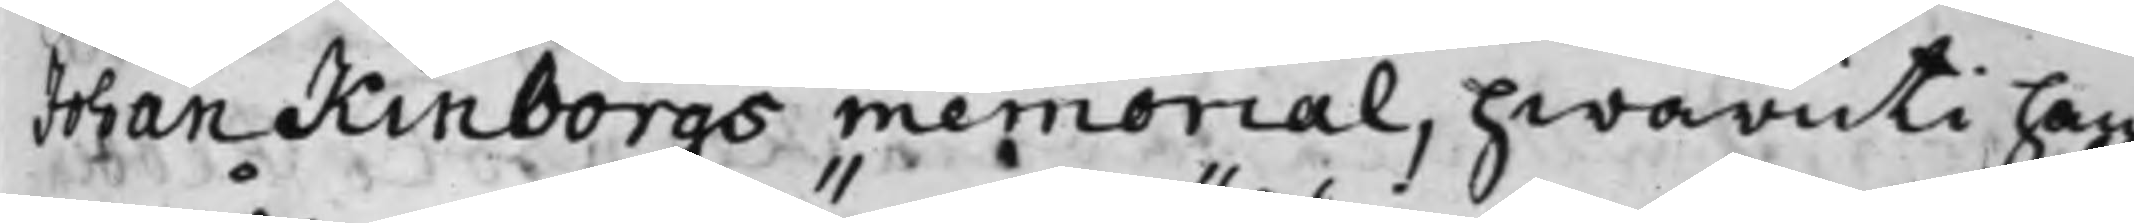Johan Kinborgs memorial, hwaruti han
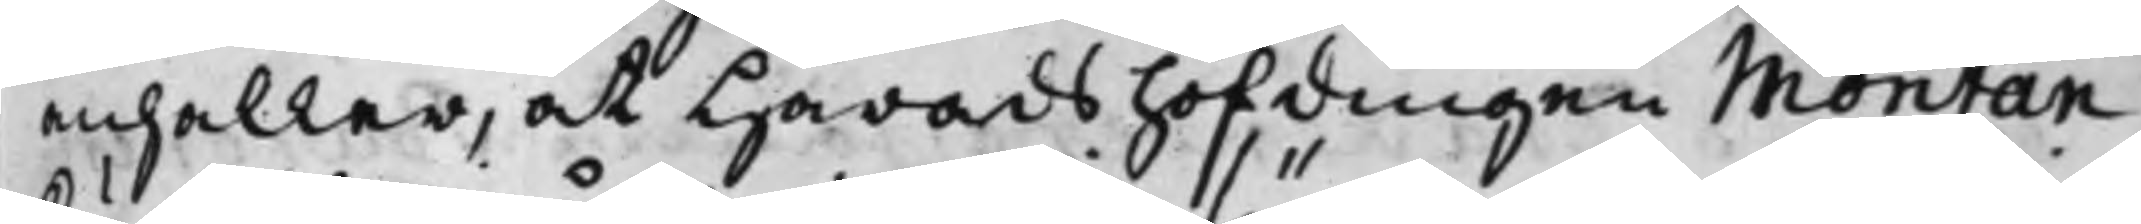anhåller, at Häradshöfdingen Montan
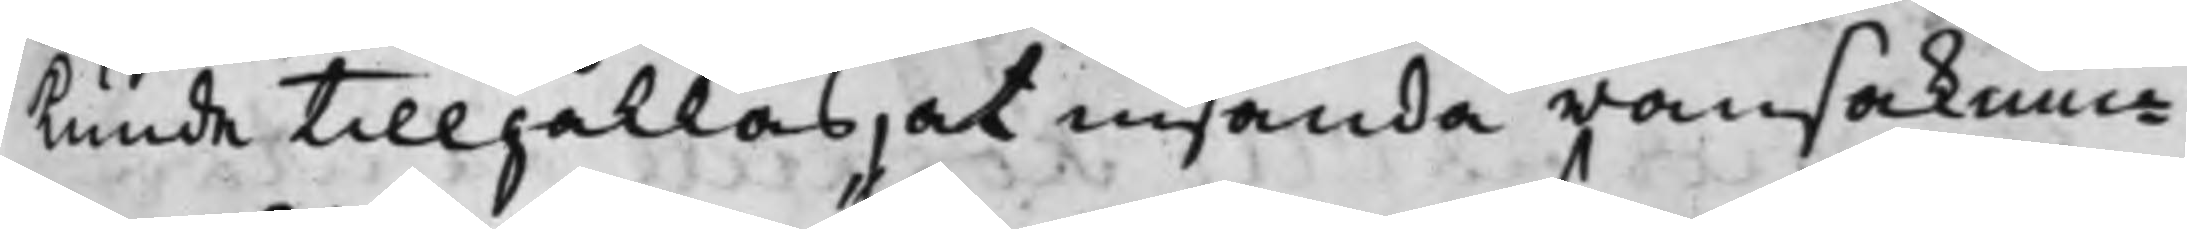kunde Tillhållas, at insända ransaknin¬
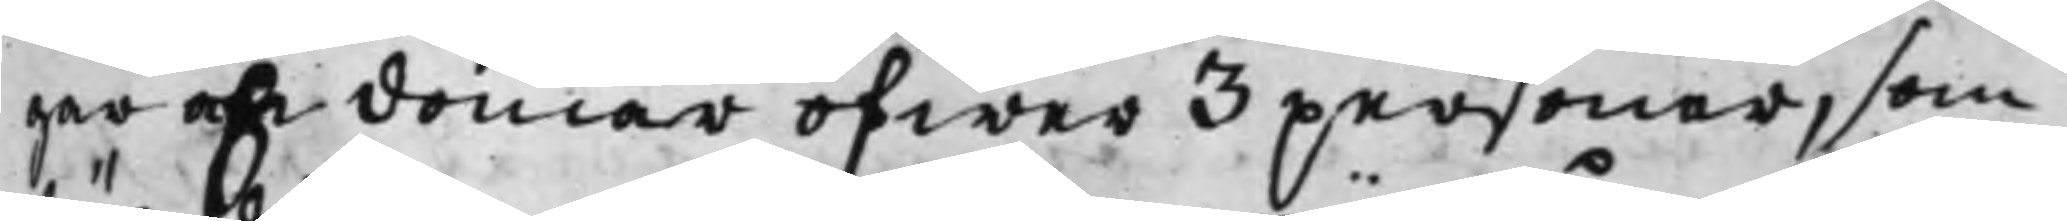gar och domar öfwer 3 personer, som
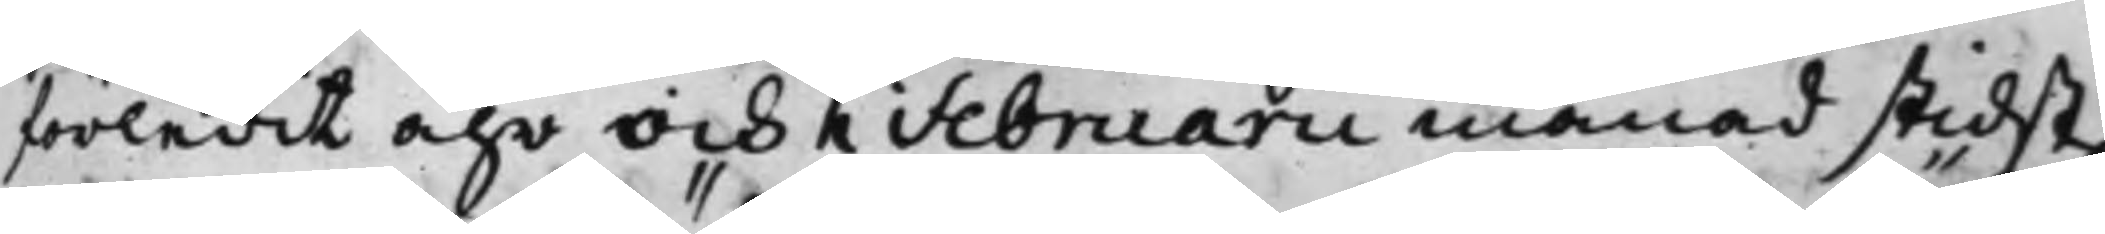förledit ahr och i Februari månad stidst.
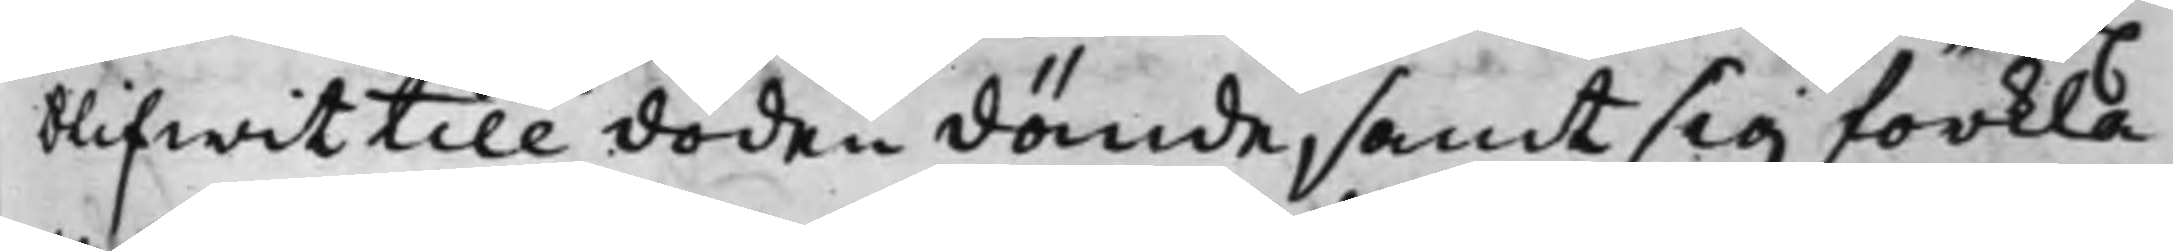blifwit till döden dömde, samt sig förkla¬
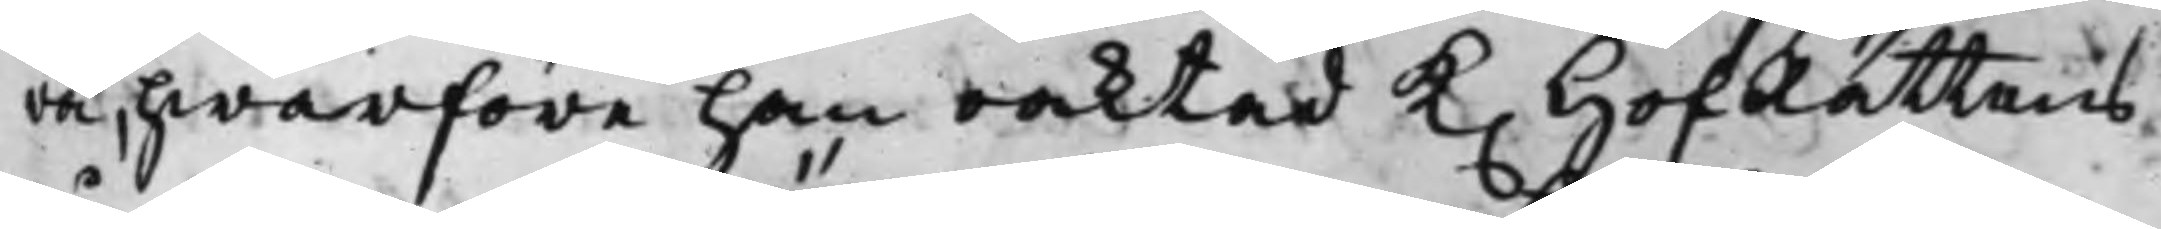ra, hwarföre han oaktad K. HofRättens
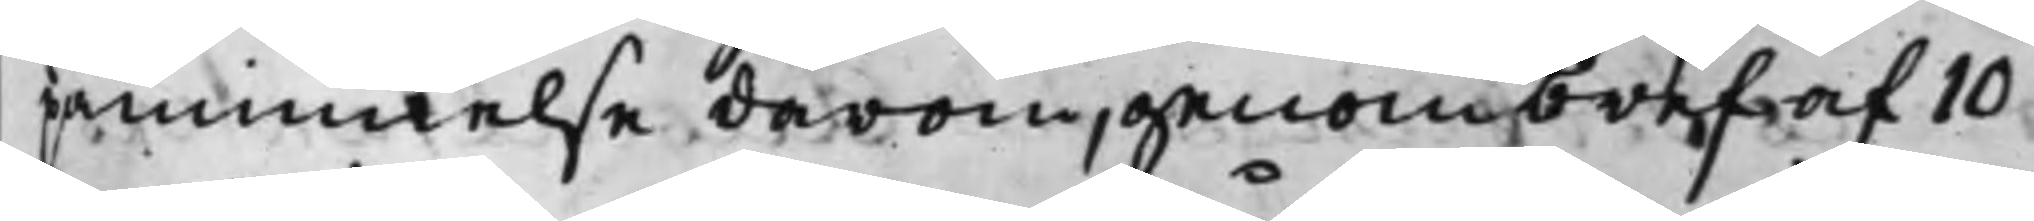påminnelse därom, genom bref af 10
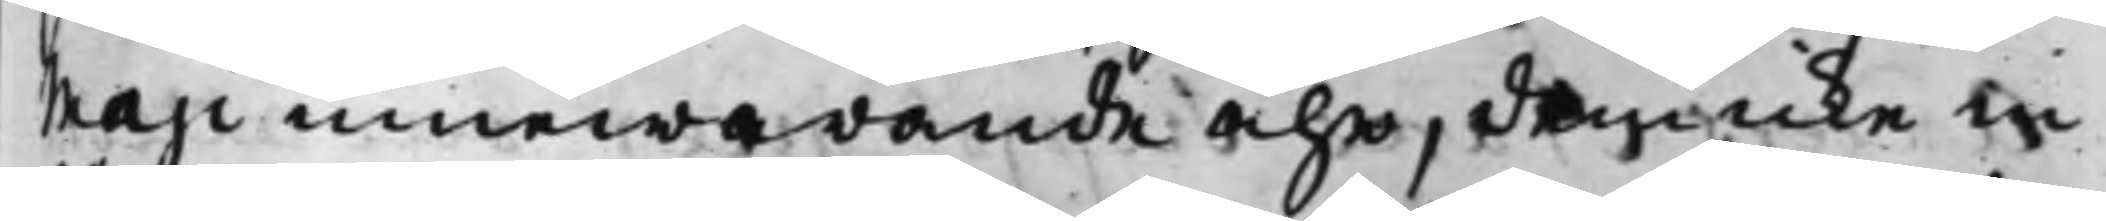Maji innewarande åhr, dem icke in
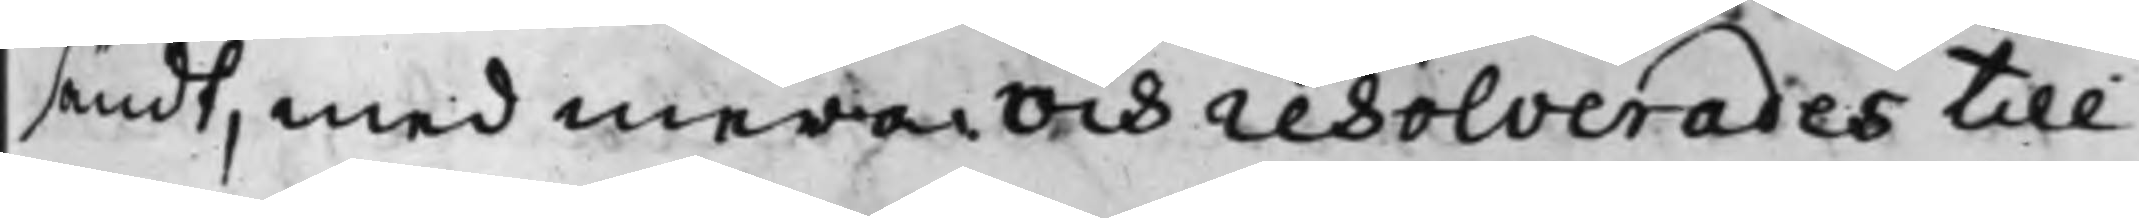sändt, med mera. Och resolverades till
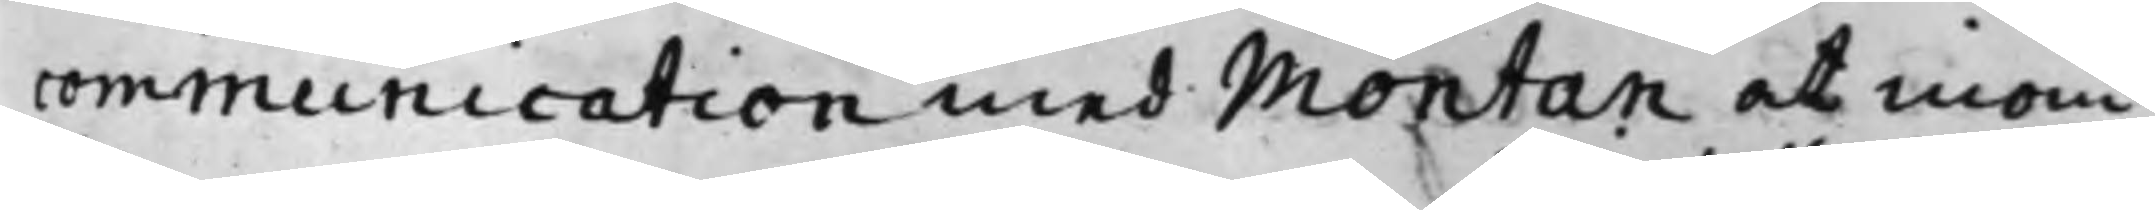communication med Montan at inom
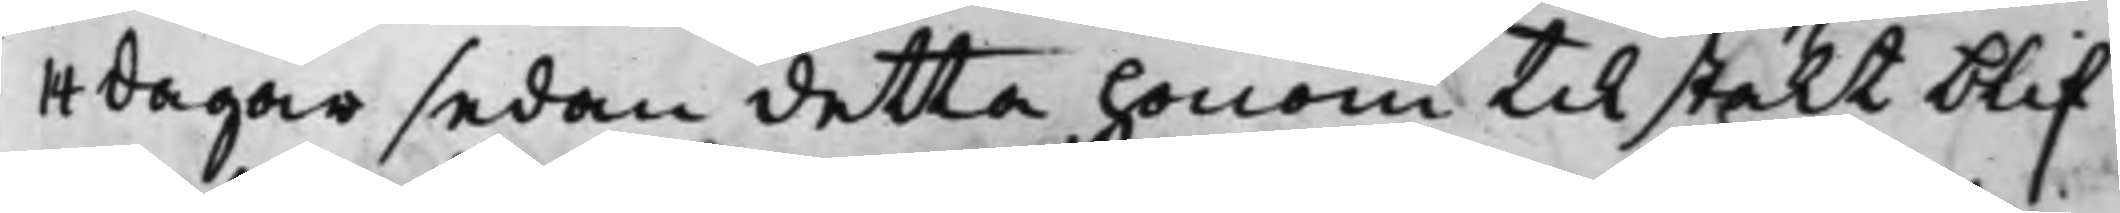14 dagar sedan detta honom Tilstält blif¬
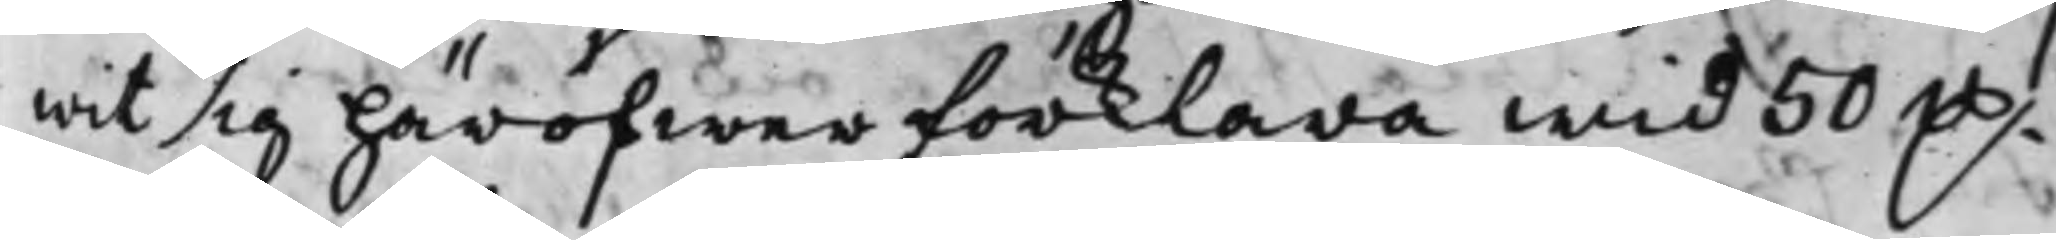wit sig häröfwer förklara wid 50 D.
